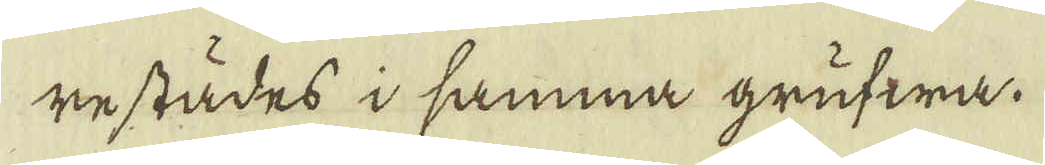restädes i samma grufwa.
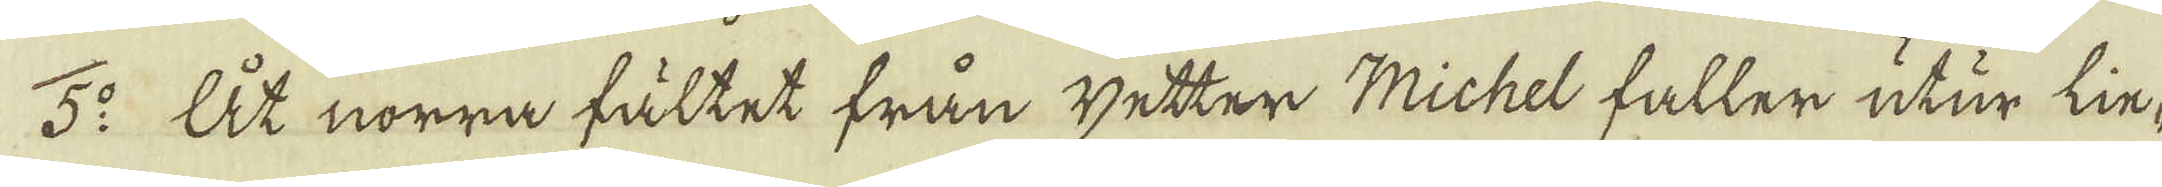5:o At norra fältet från wetter Michel faller utur lin-
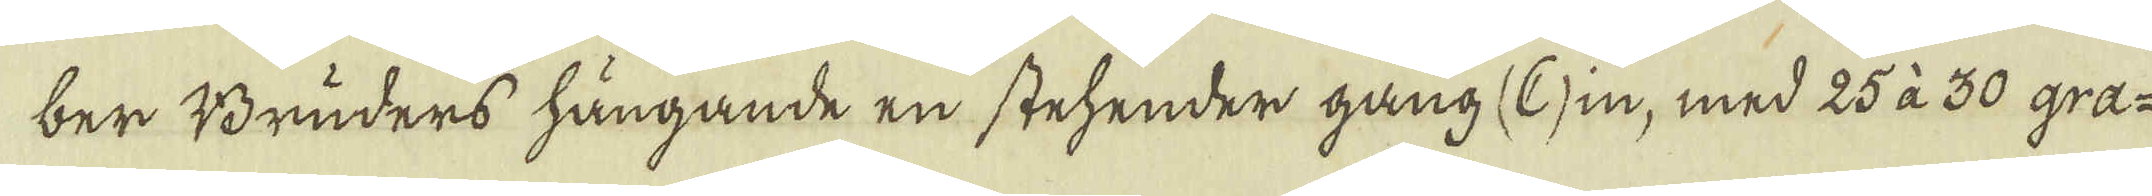ber Bruders hängande en stehender gang (C) in, med 25 à 30 gra-
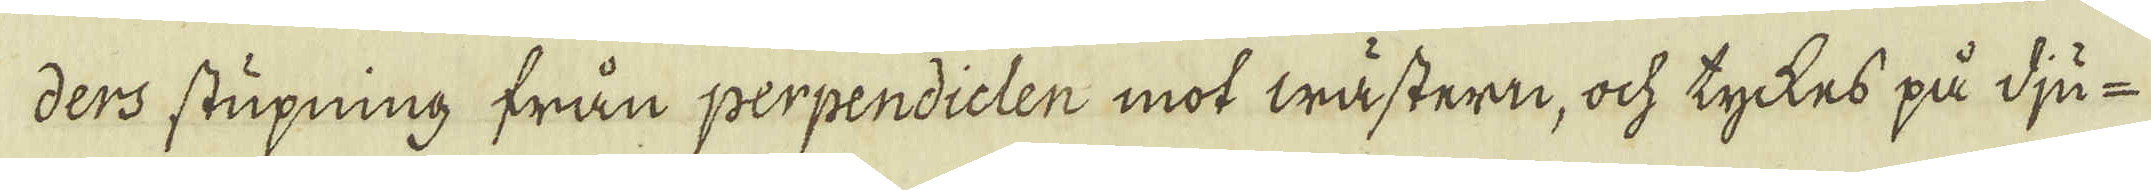ders stupning från perpendiclen mot wästern, ock tyckes på dju-
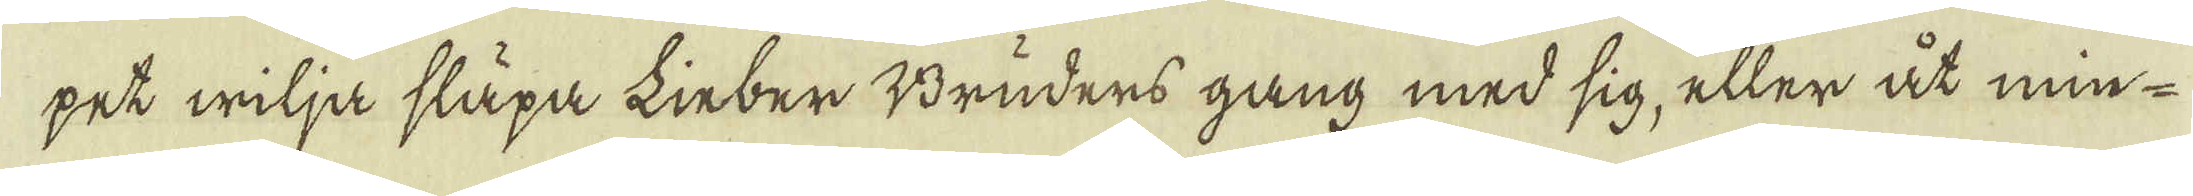pet wilja släpa Linber Bruders gång med sig, eller åt min-
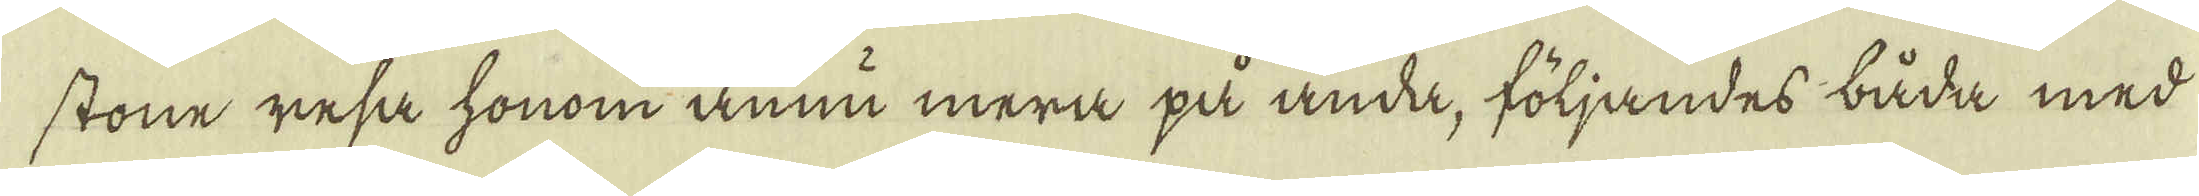stone resa honom ännu mera på anda, följandes båda med
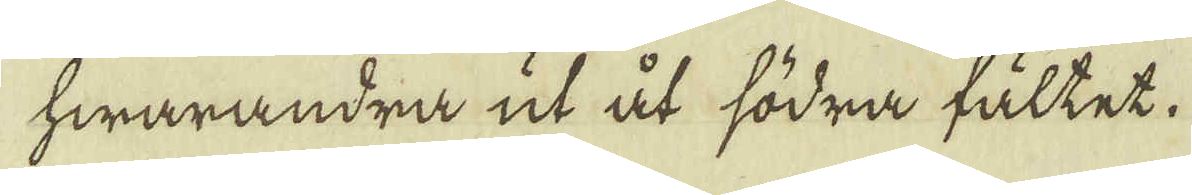hwarandra ut åt södra fältet.
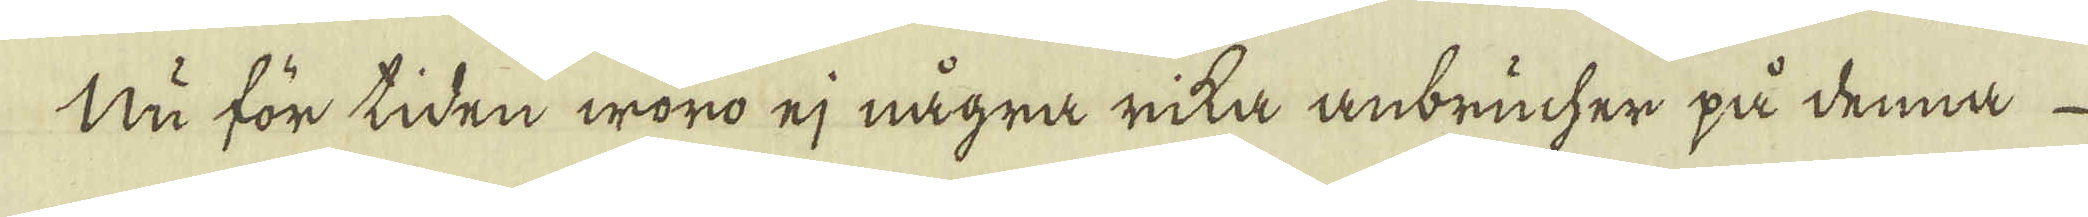Nu för tiden woro ej några rika anbrucher på denna
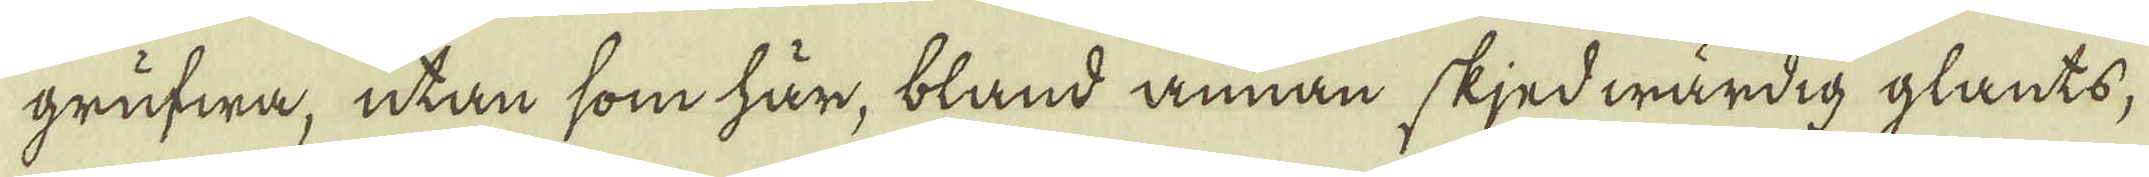grufwa, utan som här, bland annan skjedwärdig glants,
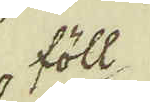föll-
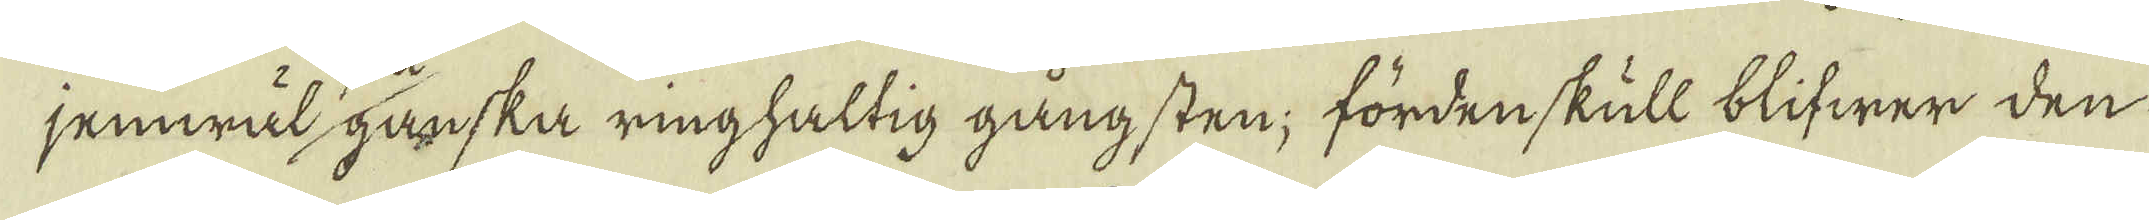jemwäl ganska ring haltig gångsten; fördenskull blifwer den
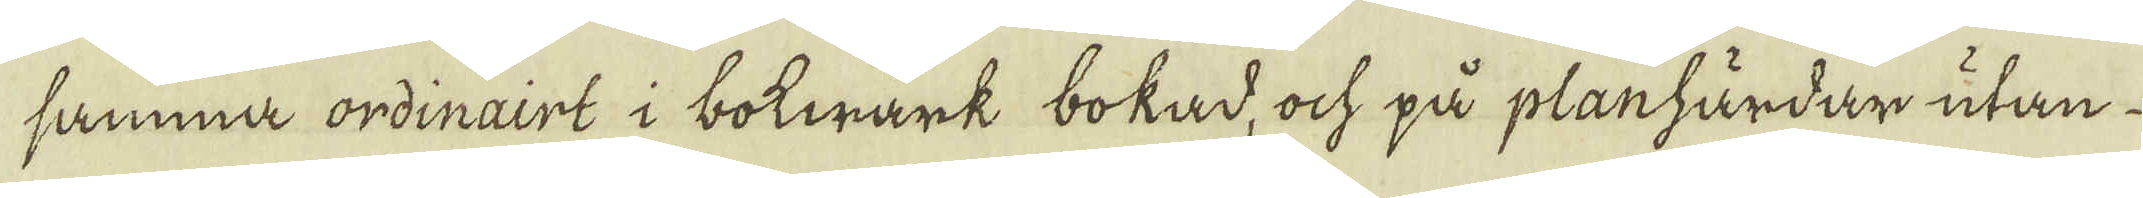samma ordinairt i bokwärk bokad, ock på planhärdar utan
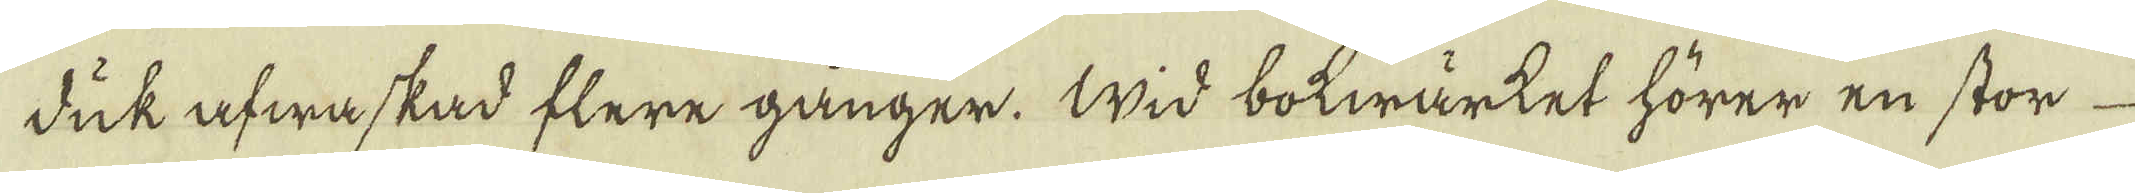duk afwaskad flere gånger. Wid botwärket hörer en stor
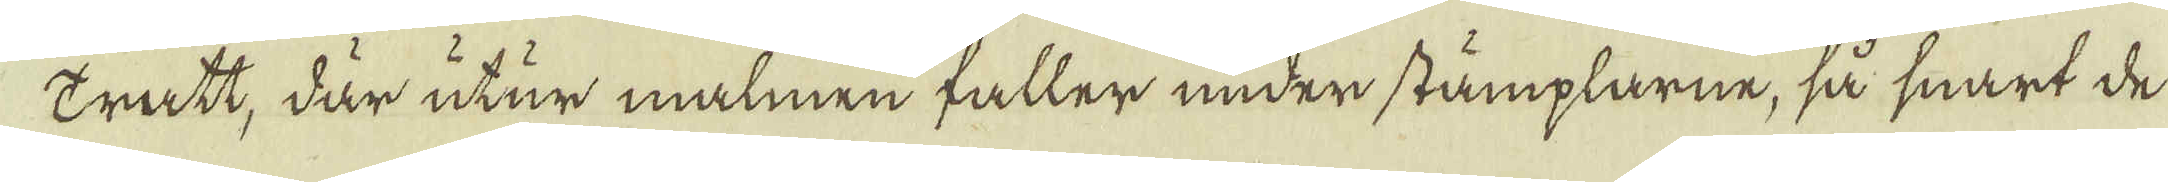tratt, där utur malmen faller under stämplarne, så snart de
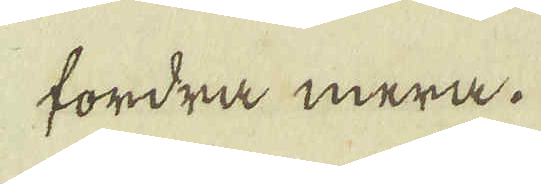fordra mera.
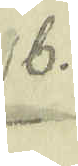b.
